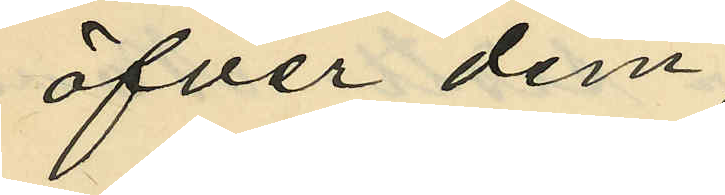öfver dem;
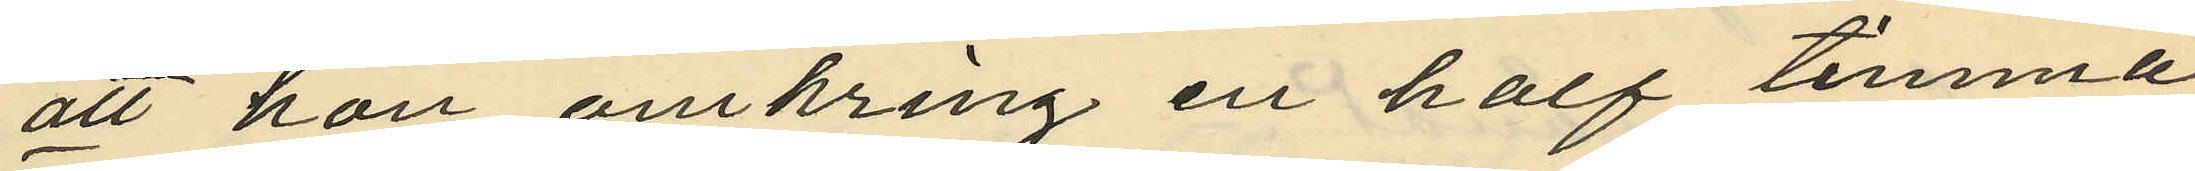att hon omkring en half timma
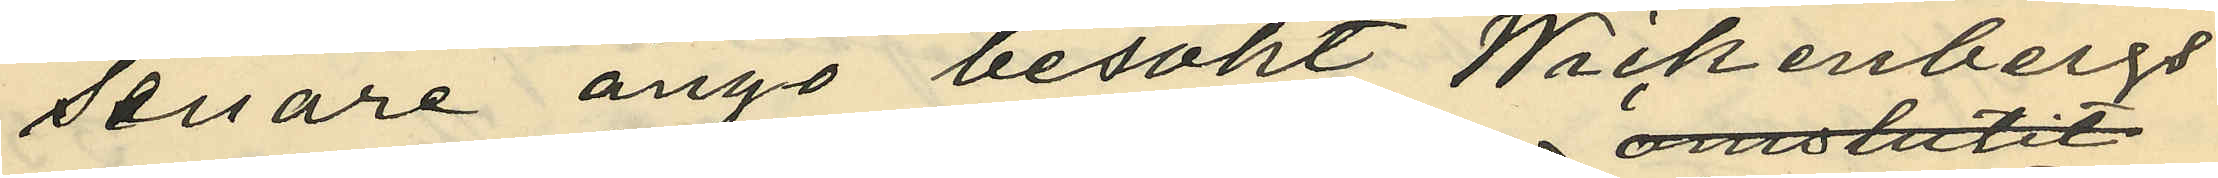senare ånyo besökt Wickenbergs
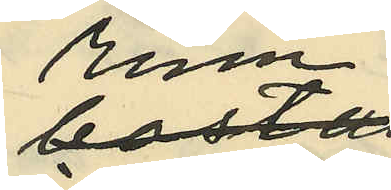rum;
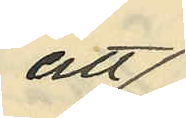att
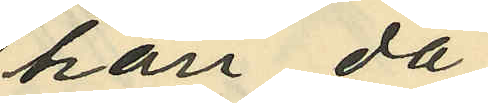han då
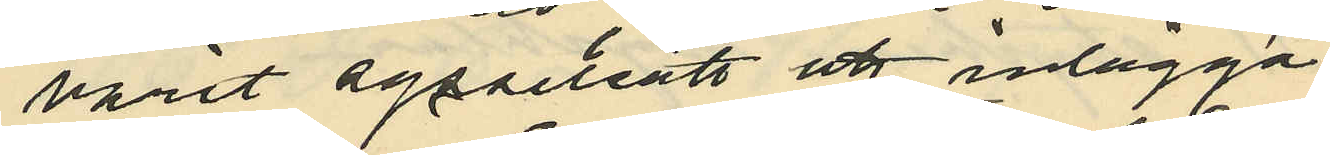varit sysselsatt att inlägga
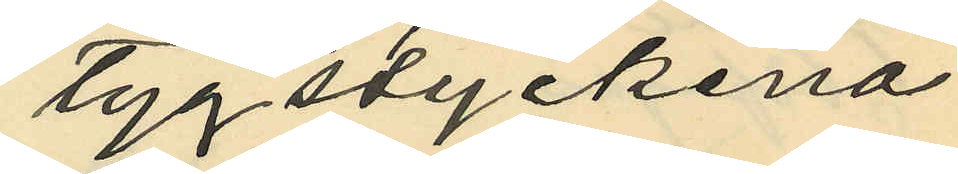tygstyckena
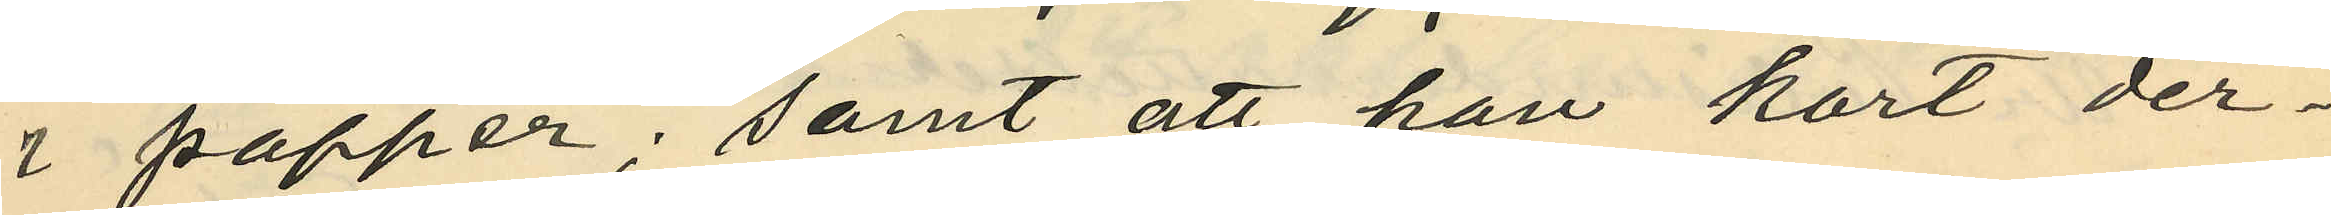i papper; samt att han kort der¬
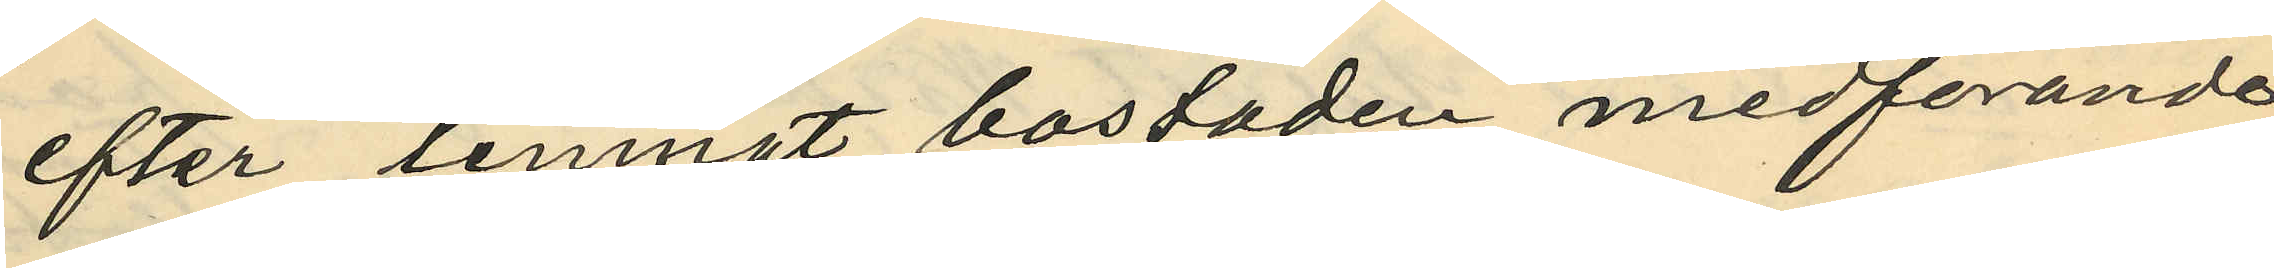efter lemnat bostaden, medförande
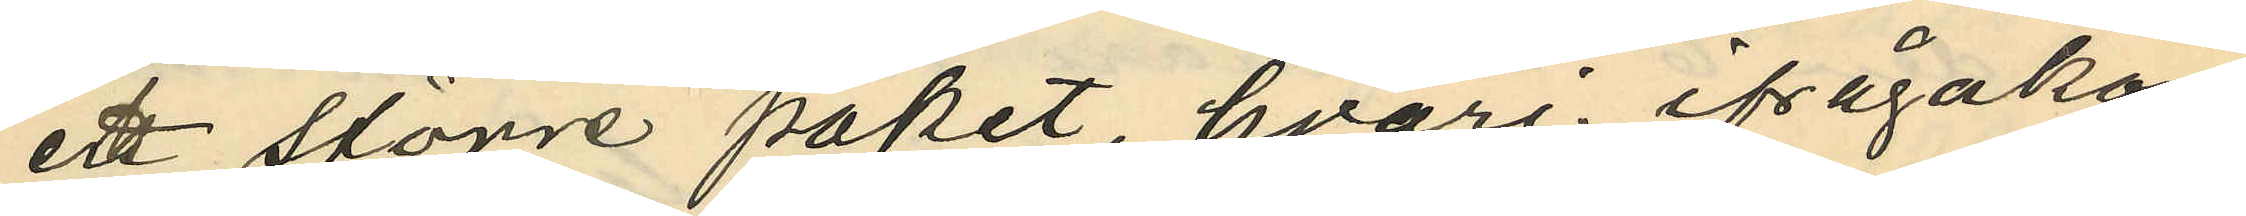ett större paket, hvari ifrågakom¬
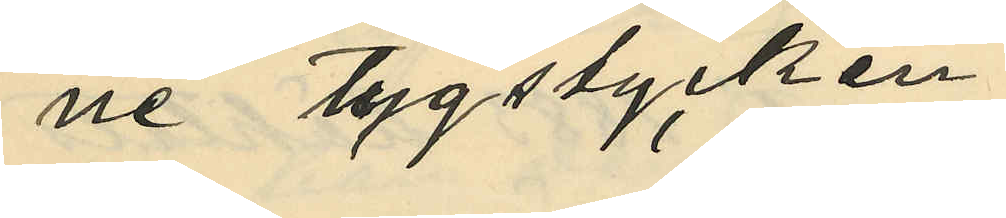ne tygstycken
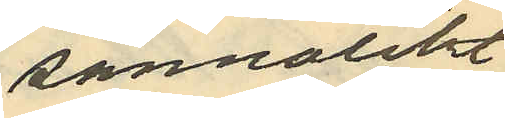sannolikt
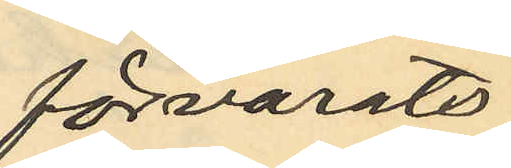förvarats;
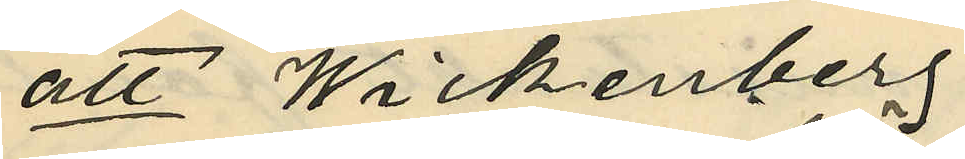att Wickenberg
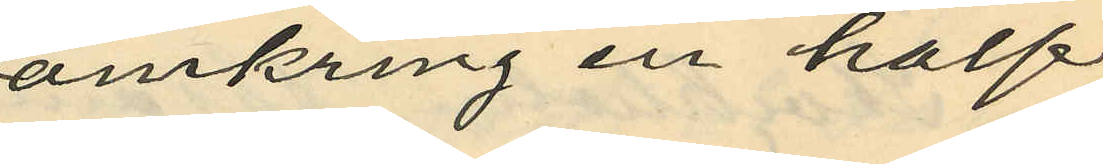omkring en half
